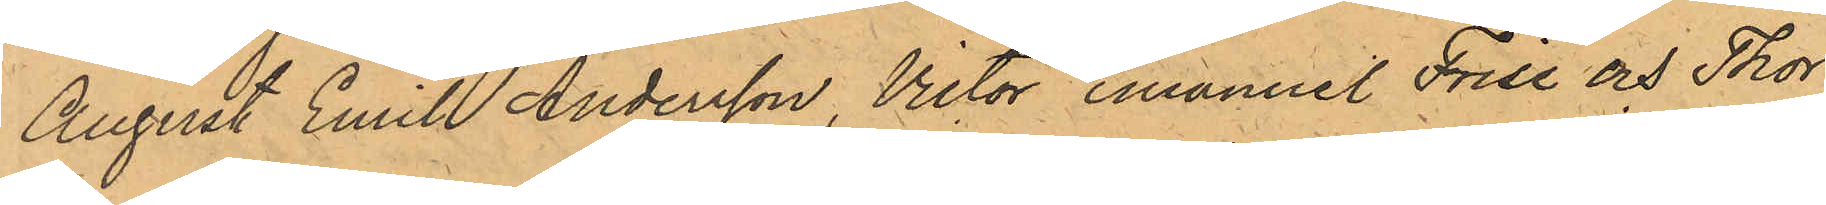August Emil Andersson, Victor Emanuel Frise och Thor
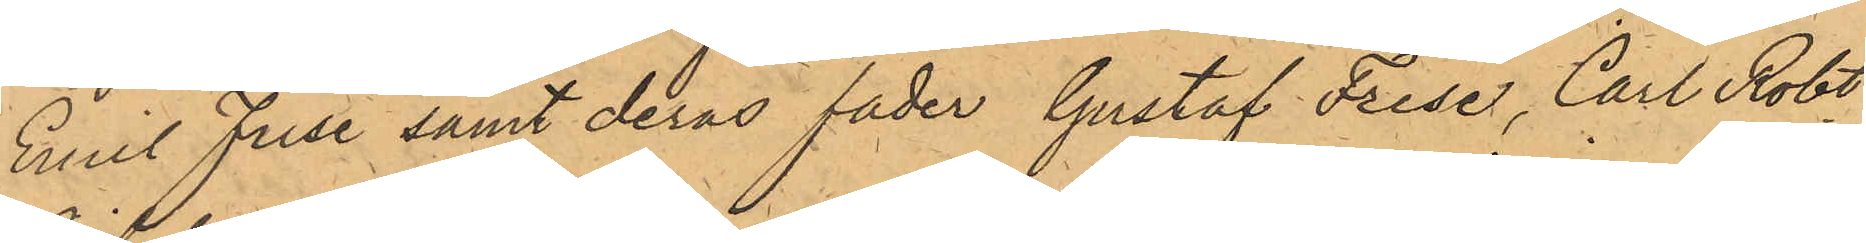Emil Frise samt deras fader Gustaf Frise, Carl Robt
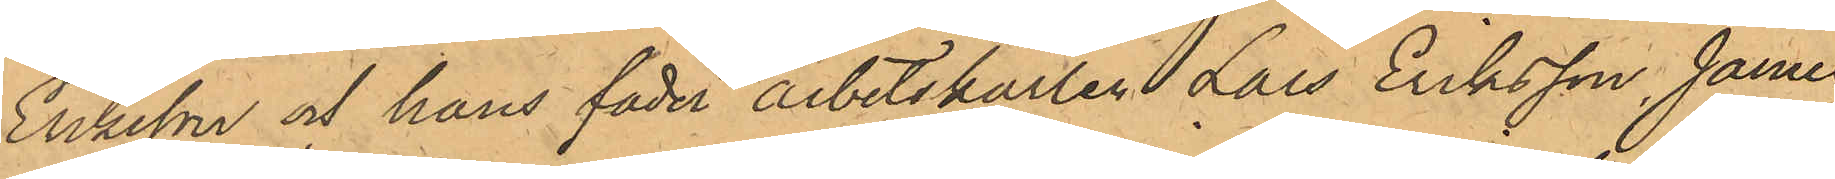Eriksson och hans fader arbetskarlen Lars Eriksson, James
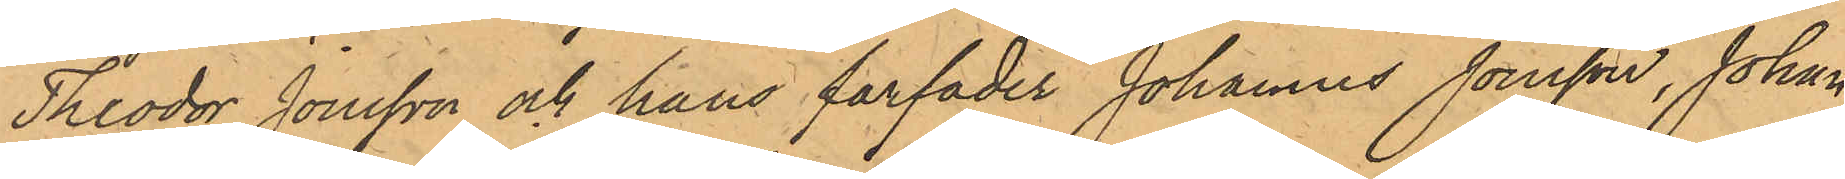Theodor Jonsson och hans farfader Johannes Jonsson, Johan 
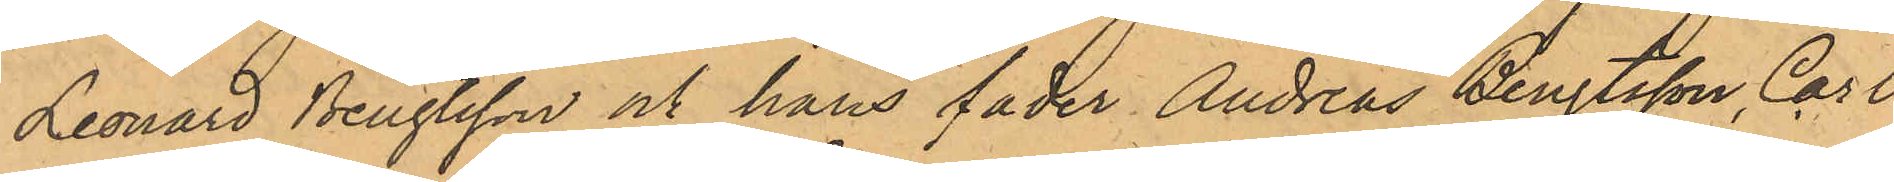Leonard Bengtsson och hans fader Andreas Bengtsson, Carl
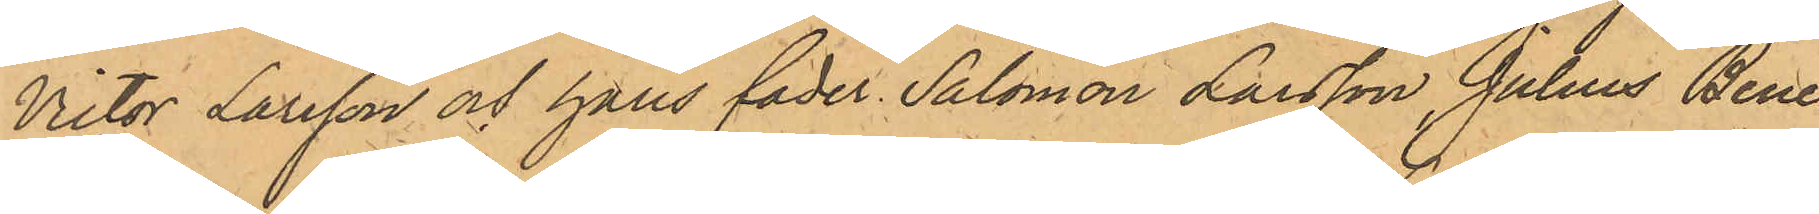Victor Larsson och hans fader Salomon Larsson, Julius Bene¬
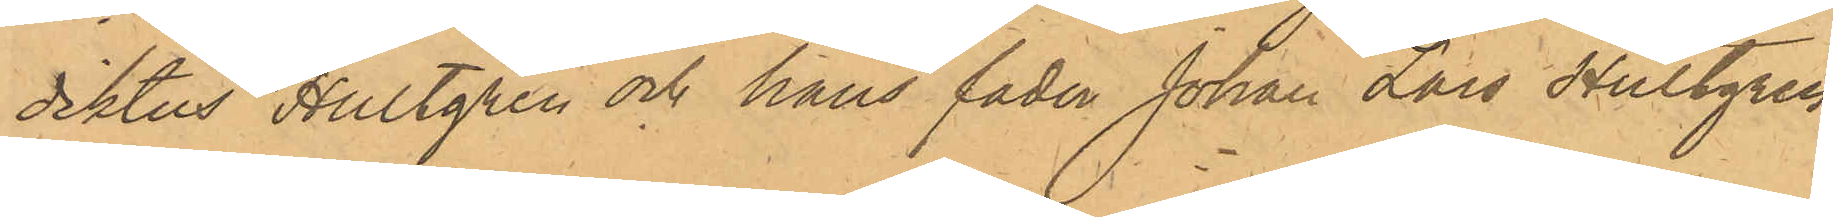diktus Hultgren och hans fader Johan Lars Hultgren
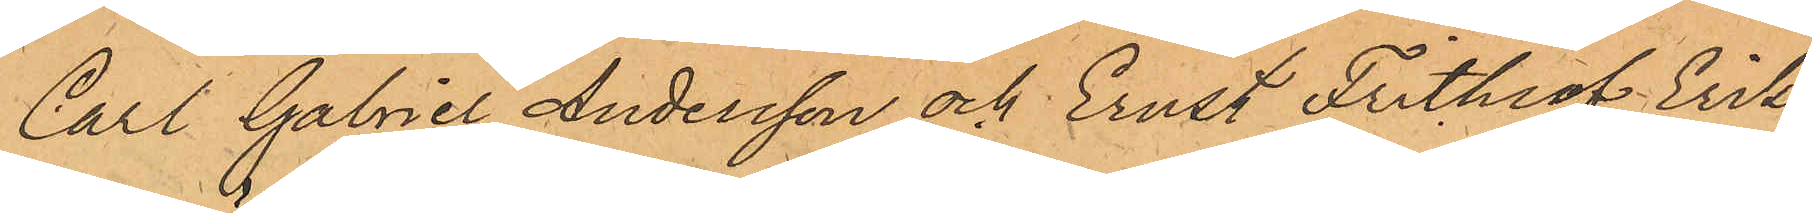Carl Gabriel Andersson och Ernst Frithiof Eriks¬
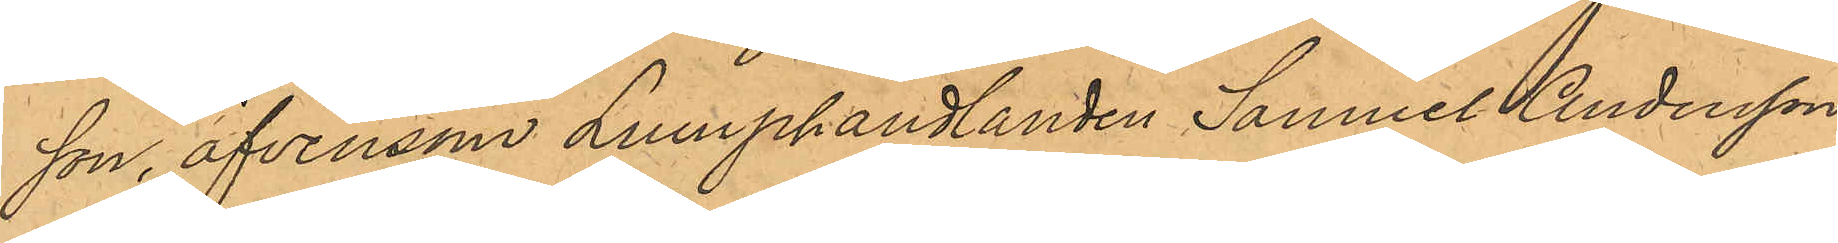son, äfvensom Lumphandlanden Samuel Andersson,
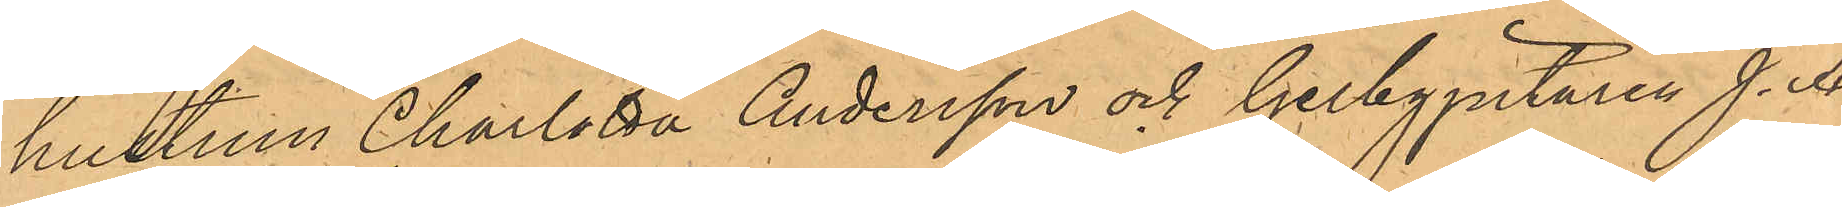hustrun Charlotta Andersson och Gelbgjutaren J. A.
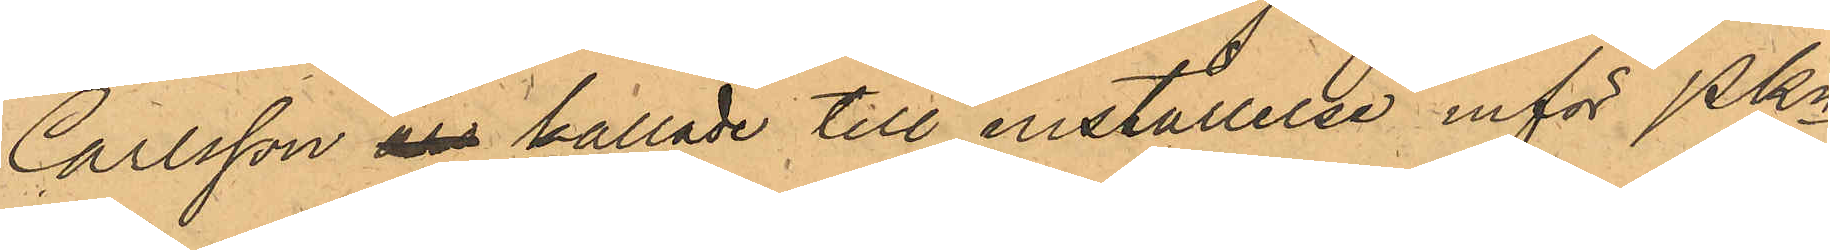Carlsson äro kallade till inställelse inför PKn
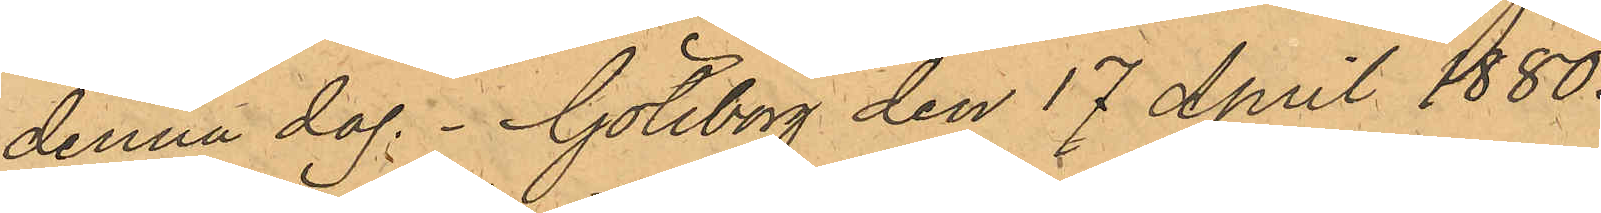denna dag. Göteborg den 17 April 1880.
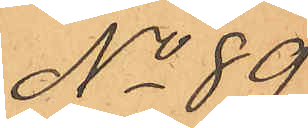No 89.
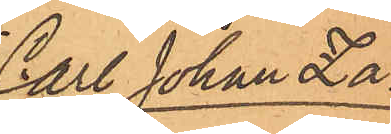Carl Johan Za¬
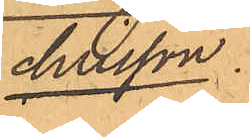chrisson.
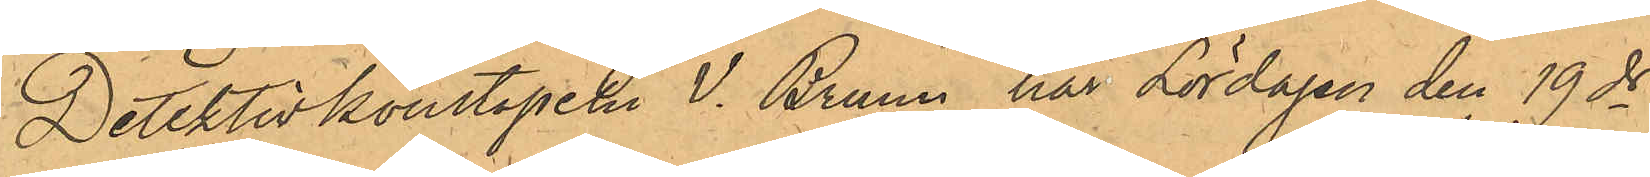Detektivkonstapeln V. Bruun har Lördagen den 19 ds
